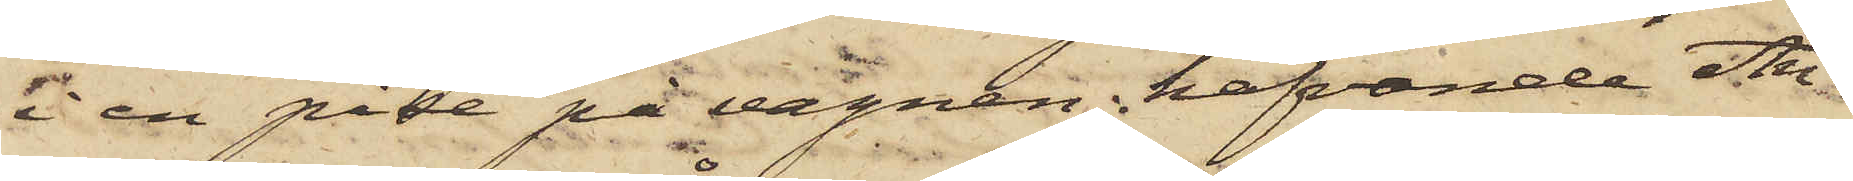i en påse på vagnen; hafvande An¬
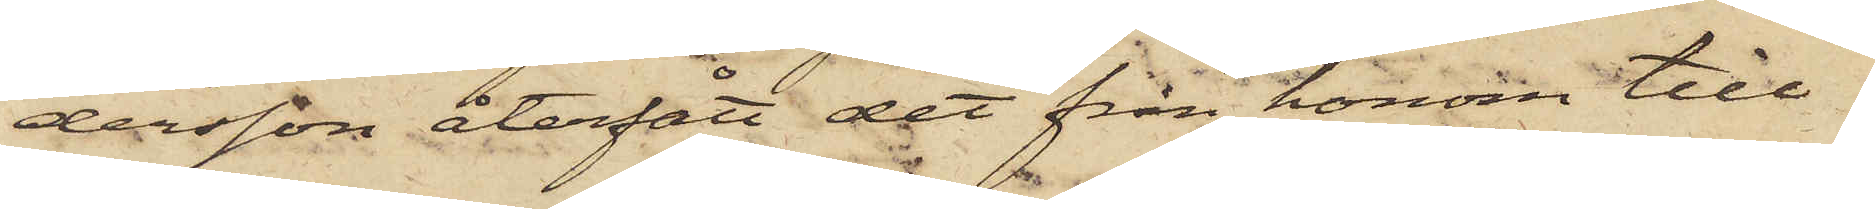dersson återfått det från honom till¬
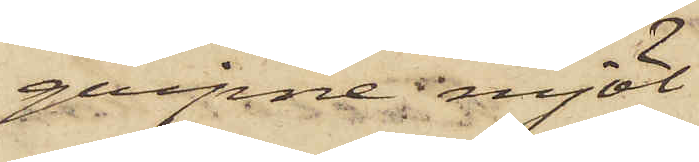gripne mjöl.
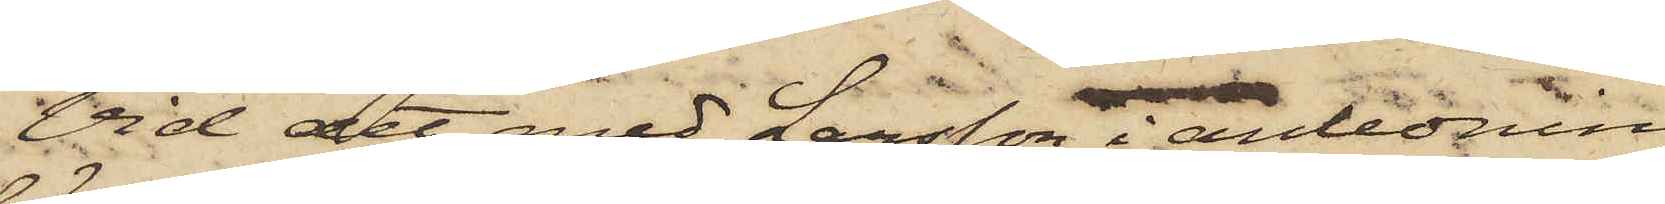Vid det med Larsson anledning
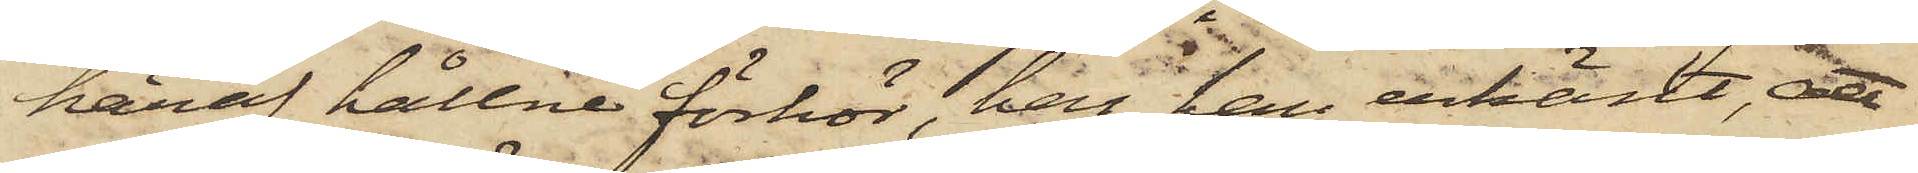häraf hållne förhör, har han erkänt, att
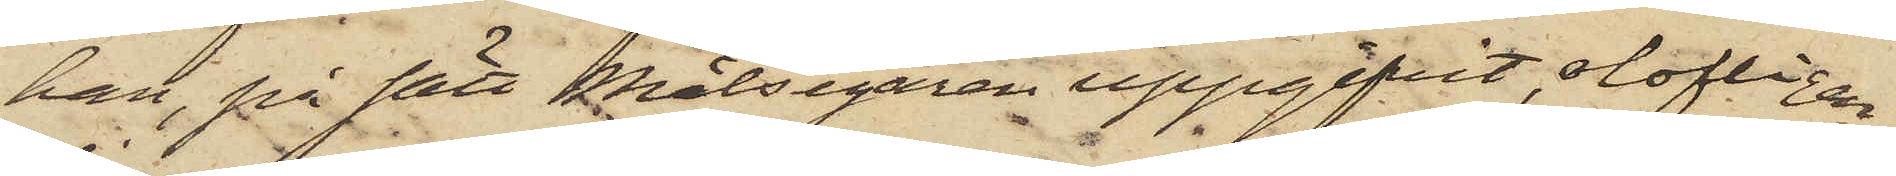han, på sätt Målsegaren uppgifvit, olofligen
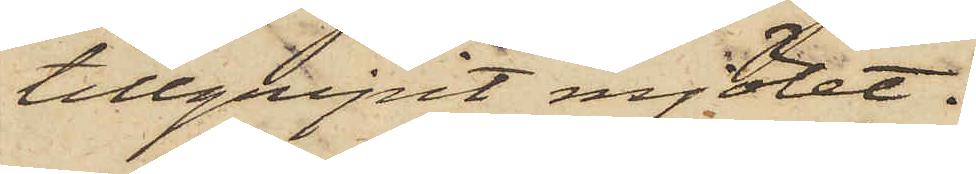tillgripit mjölet.
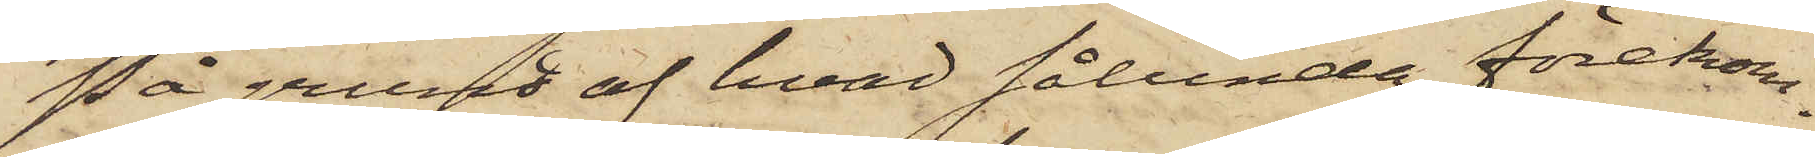På grund af hvad sålunda förekom¬
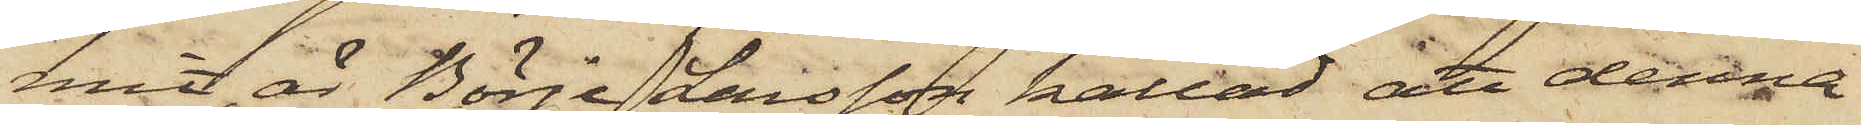mit, är Börje Larsson kallad att denna
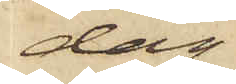dag
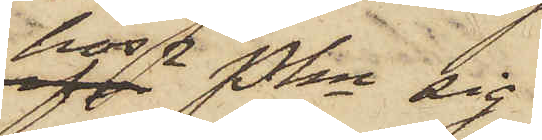hos PKn sig
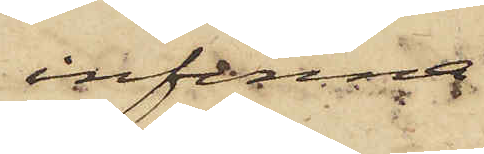infinna.
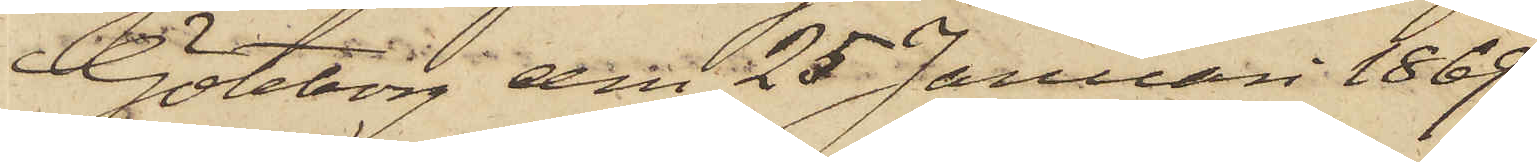Göteborg den 25 Januari 1869.
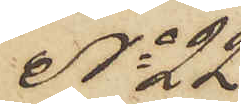No 22
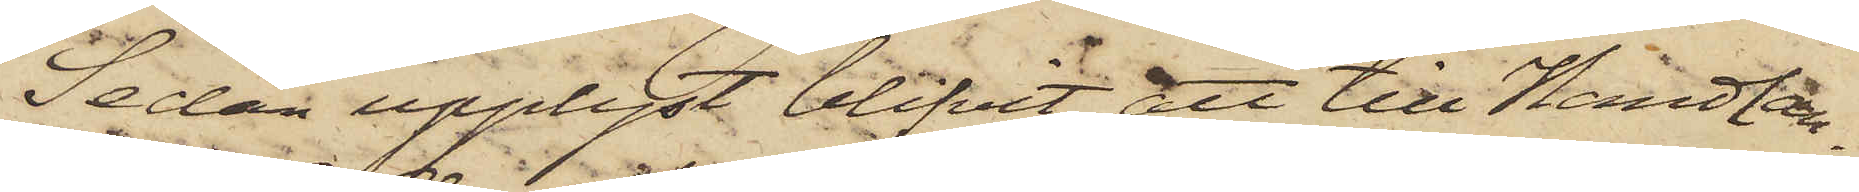Sedan upplyst blifvit att till Handlan¬
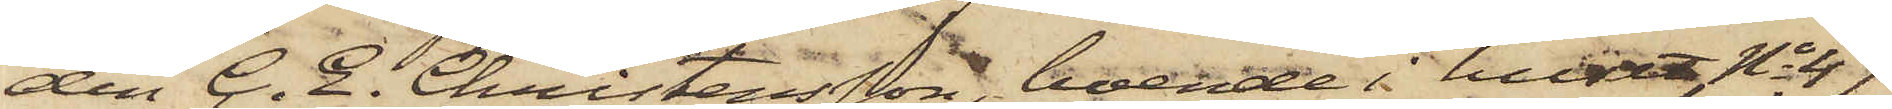den C. E. Christensson, boende i huset No 47
